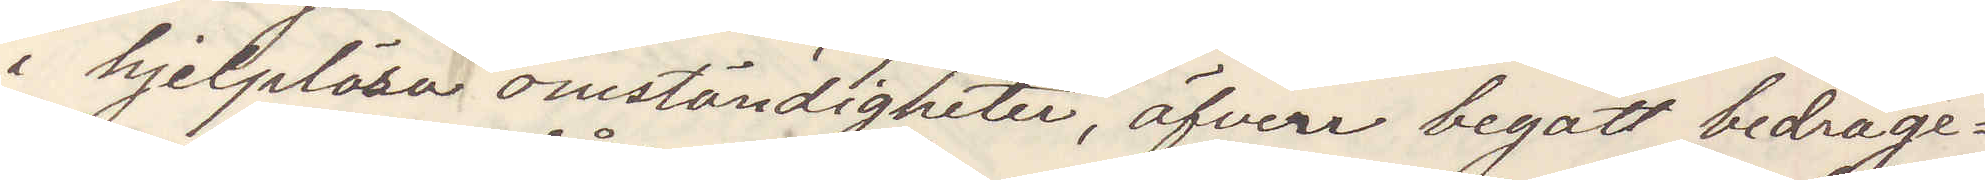i hjelplösa omständigheter, äfven begått bedräge¬
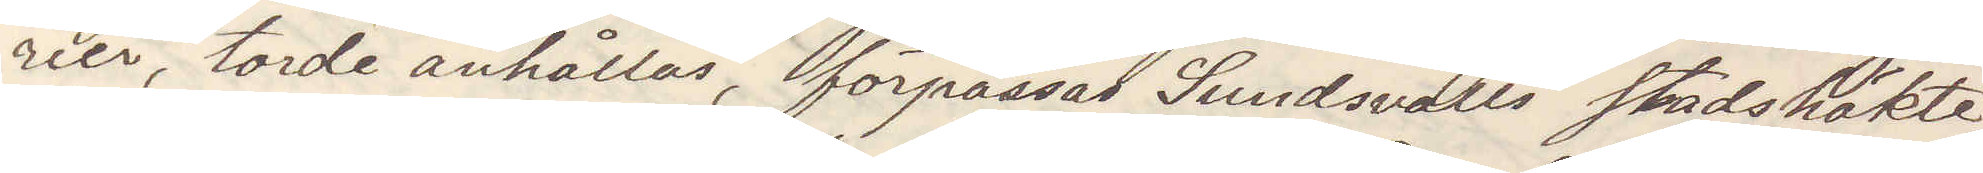rier, torde anhållas, förpassas Sundsvalls stadshäkte,
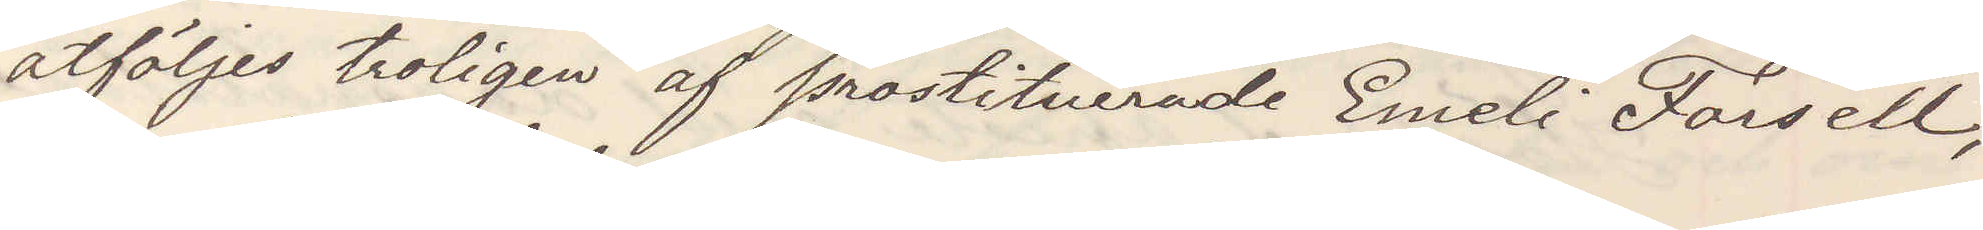åtföljes troligen af prostituerade Emeli Forsell,
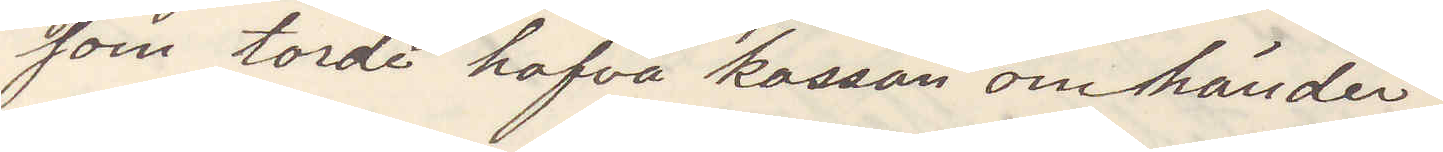som torde hafva kassan omhänder.
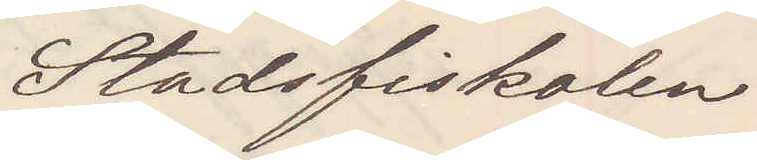Stadsfiskalen
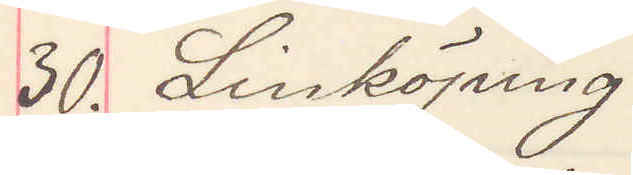30. Linköping
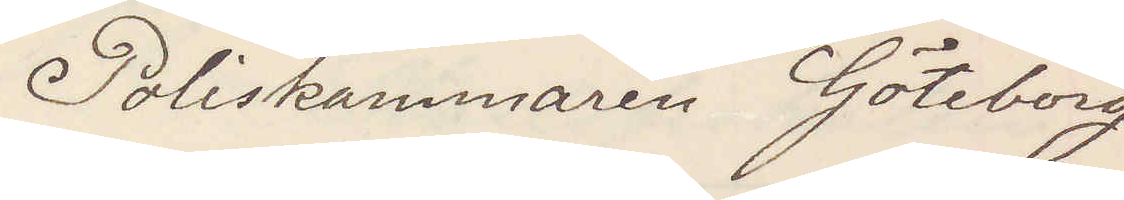Poliskammaren Göteborg
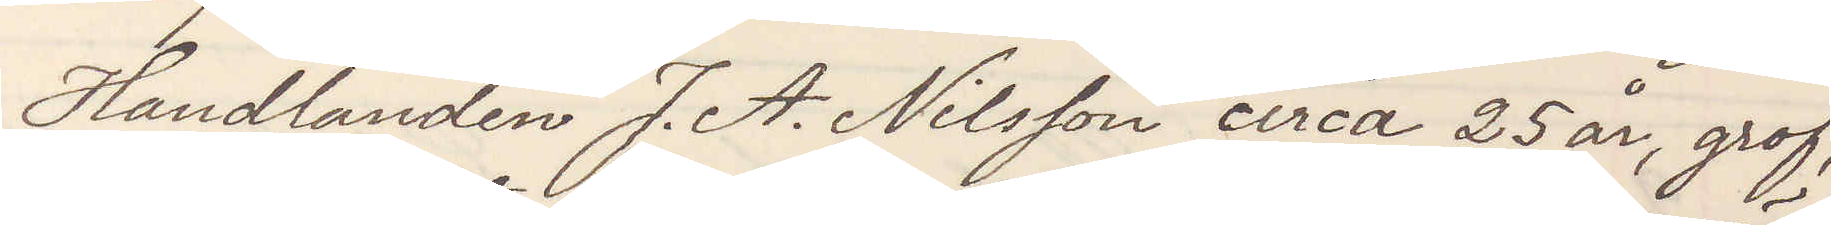Handlanden J. A. Nilsson circa 25 år, grof,
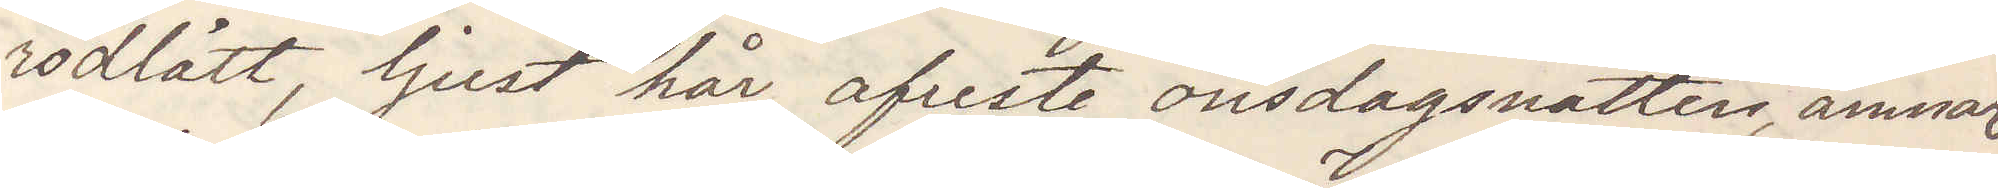rödlätt, ljust hår, afreste onsdagsnatten, ämnar
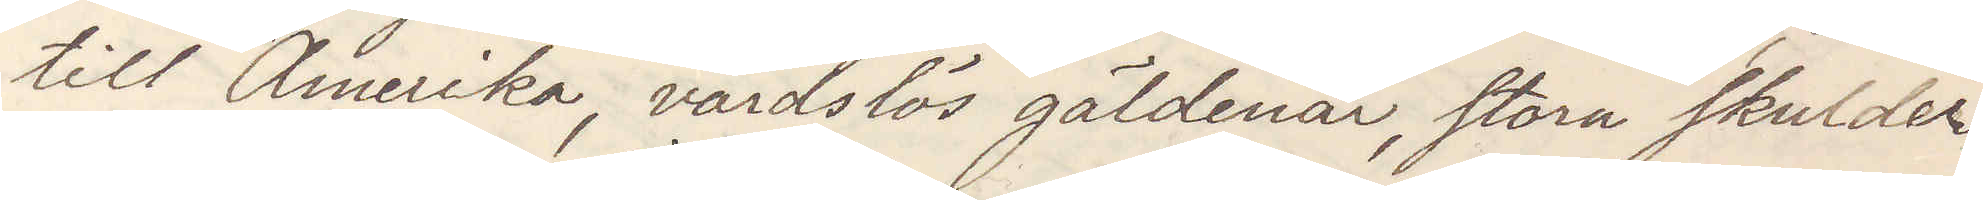till Amerika, vårdslös gäldenär, stora skulder
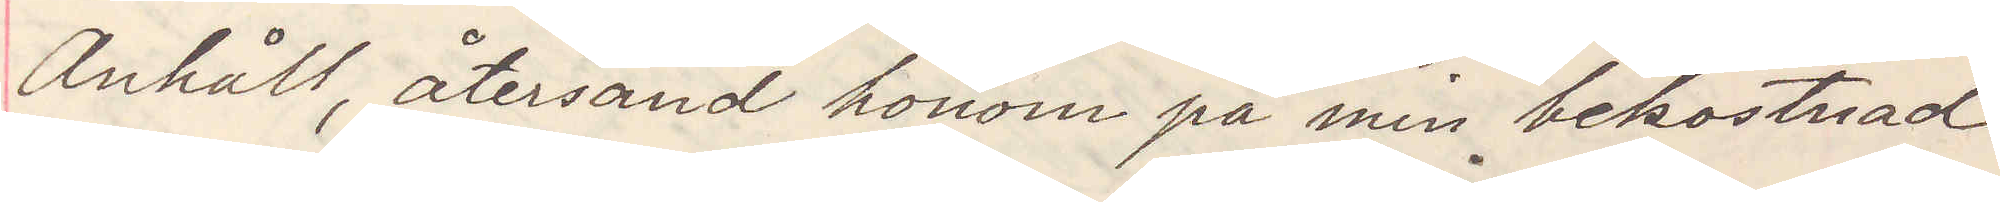Anhåll, återsänd honom på min bekostnad
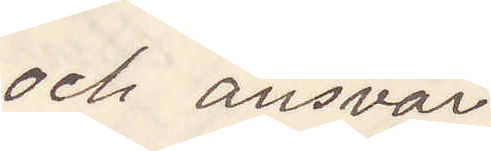och ansvar
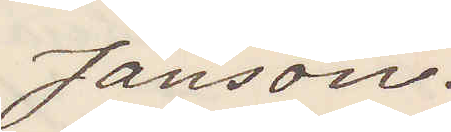Jansson.
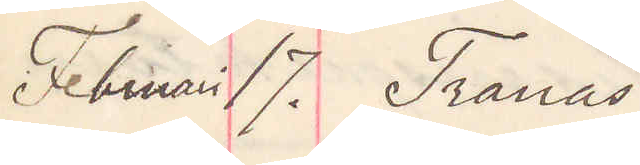Februari 17. Tranås
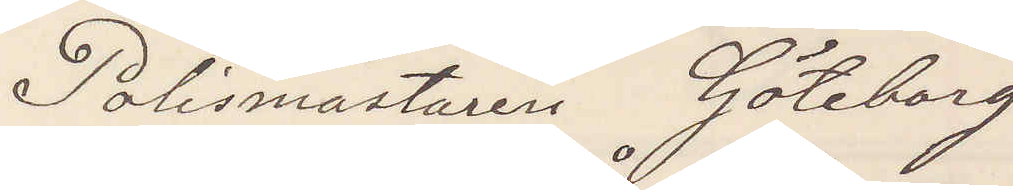Polismästaren Göteborg
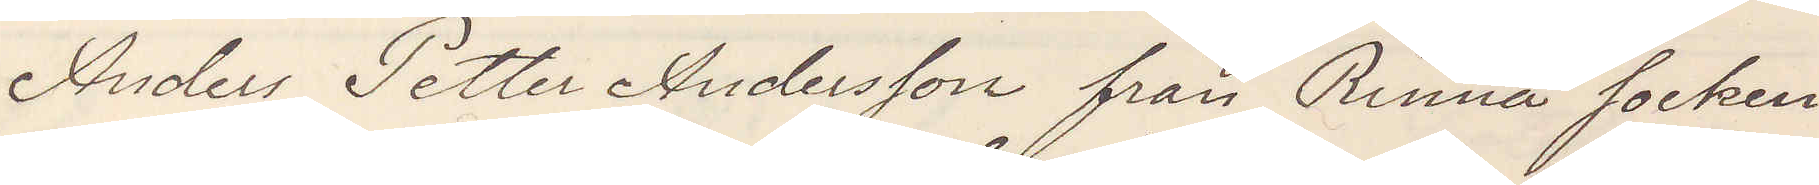Anders Petter Andersson från Rinna socken
